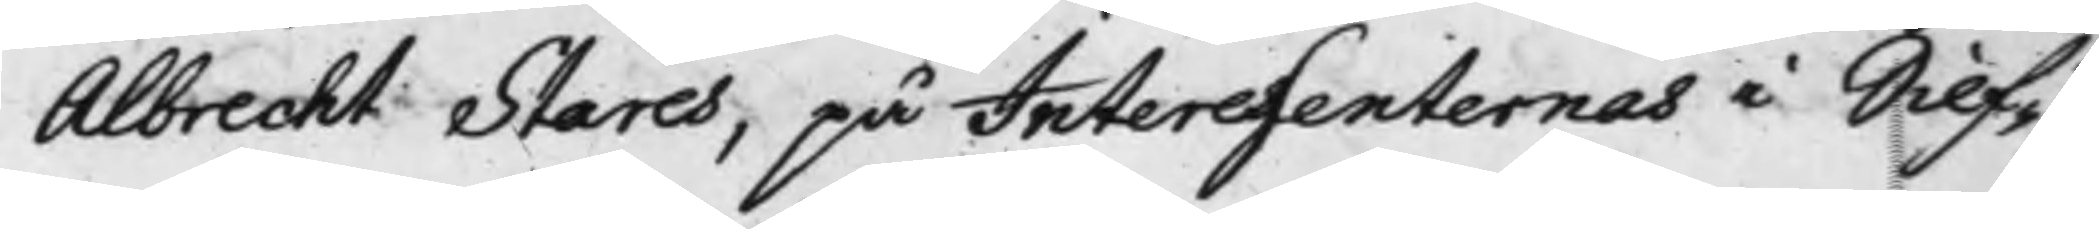Albrecht Stares, på Interessenternes i Silf¬
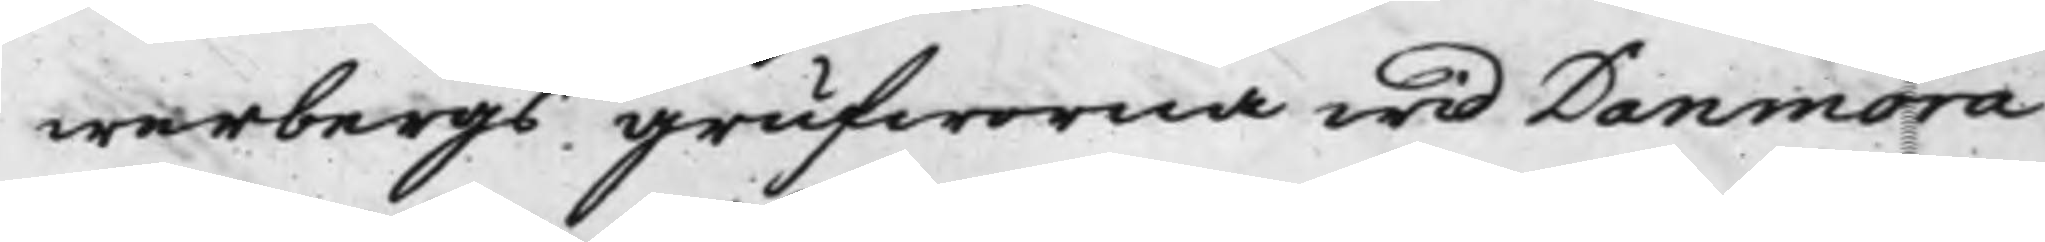werbergs grufworna wid Danmora
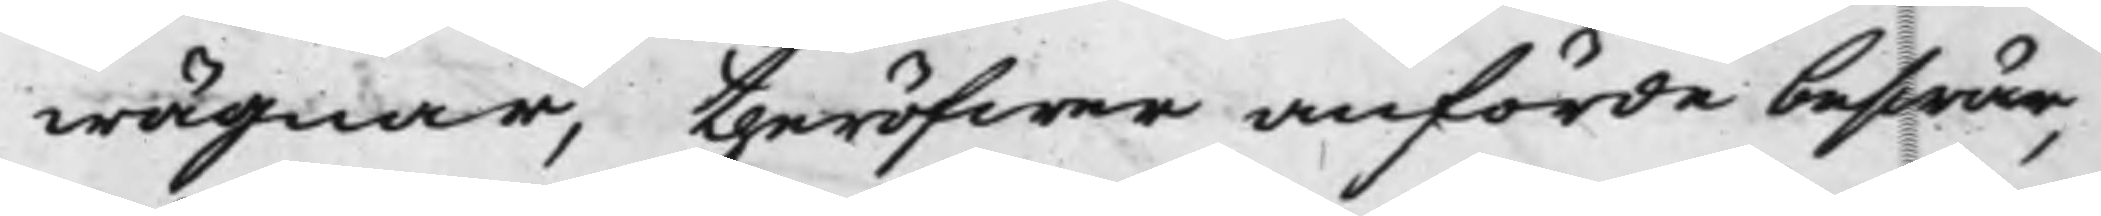wägnar, theröfwer anförde beswär,
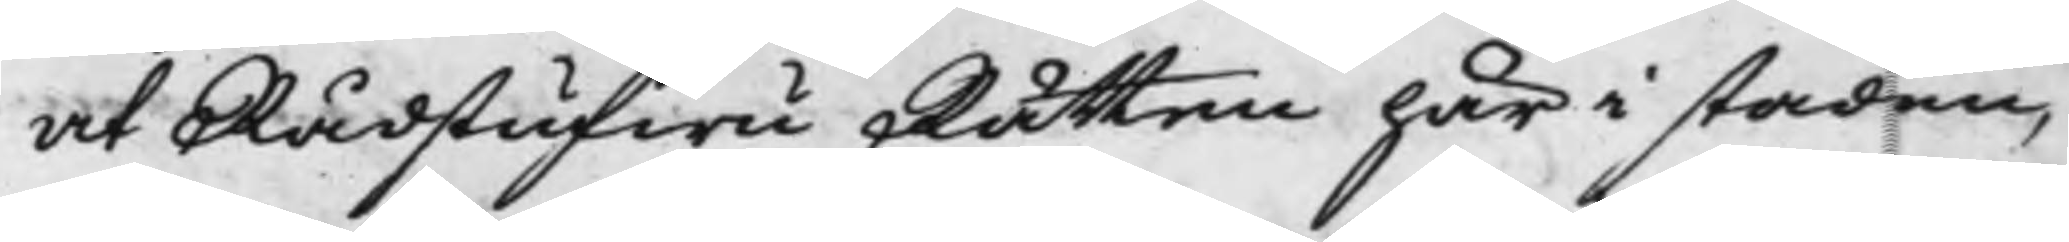at Rådstufwu Rätten här i staden,
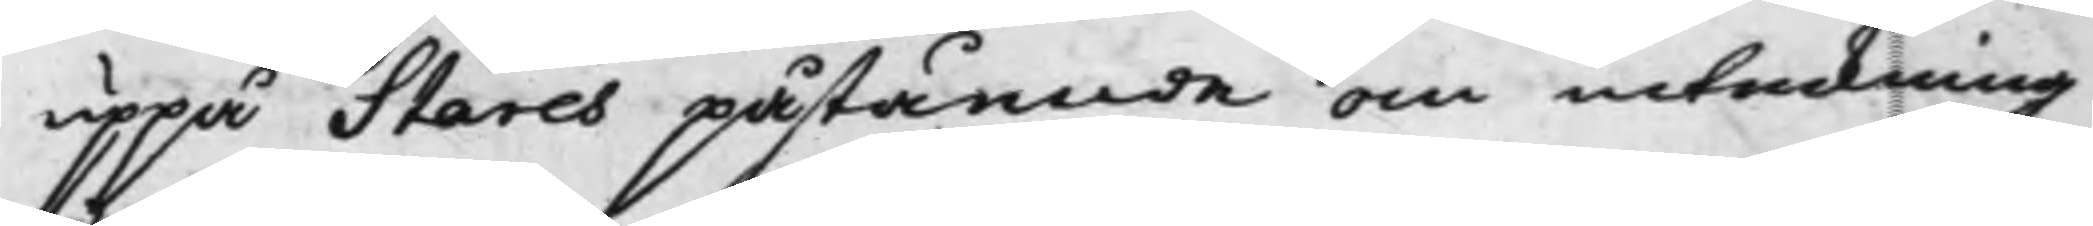uppå Stares påstående om inteckning
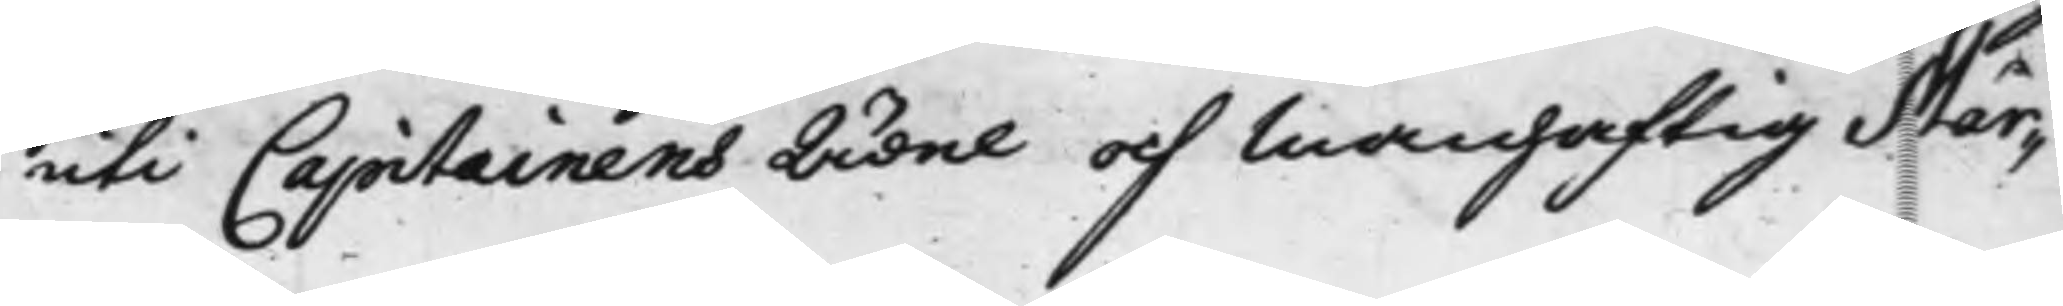uti Capiteinens Ädel och Manhaftig Mår¬
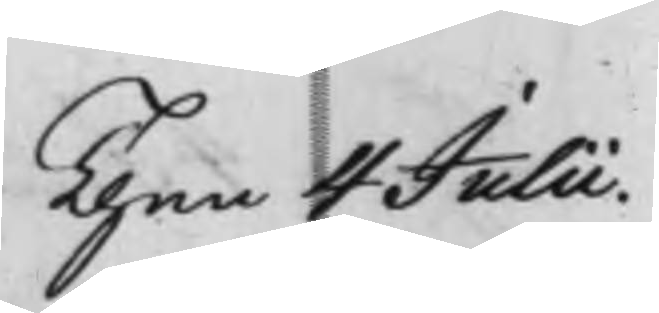Then 4 Julii.
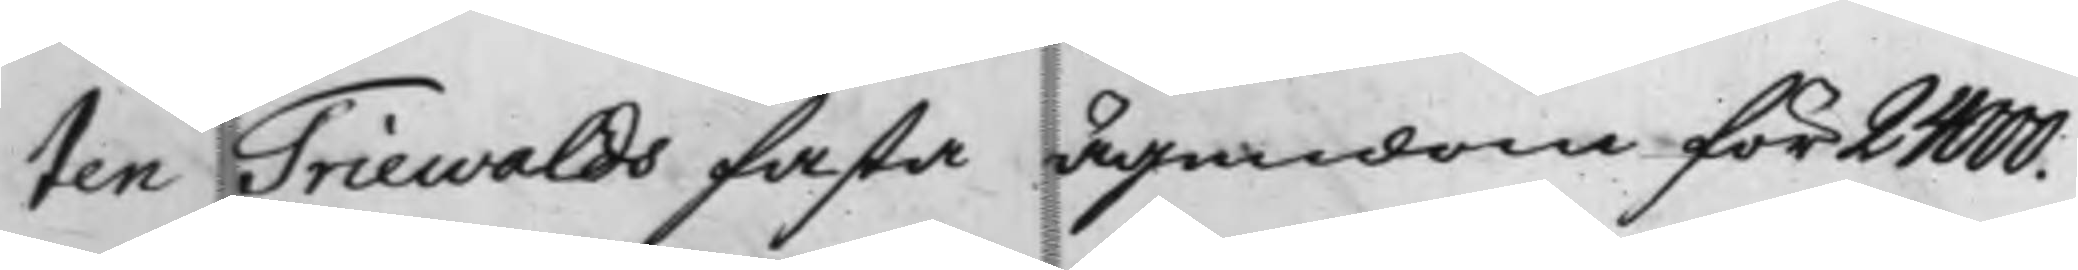ten Triewalds fasta ägendom för 24000.
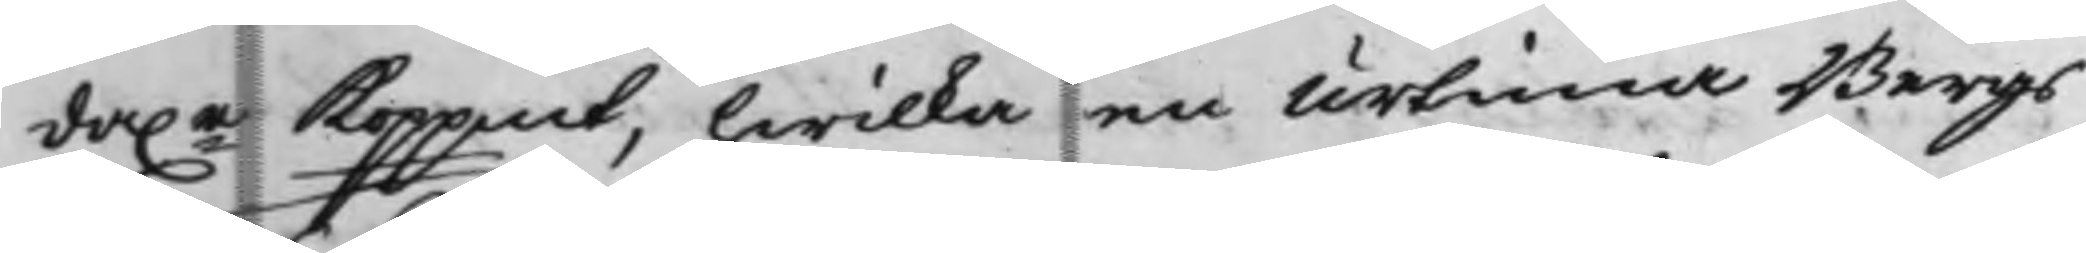da.r Koppmt, hwilka en Urtima Bergs¬
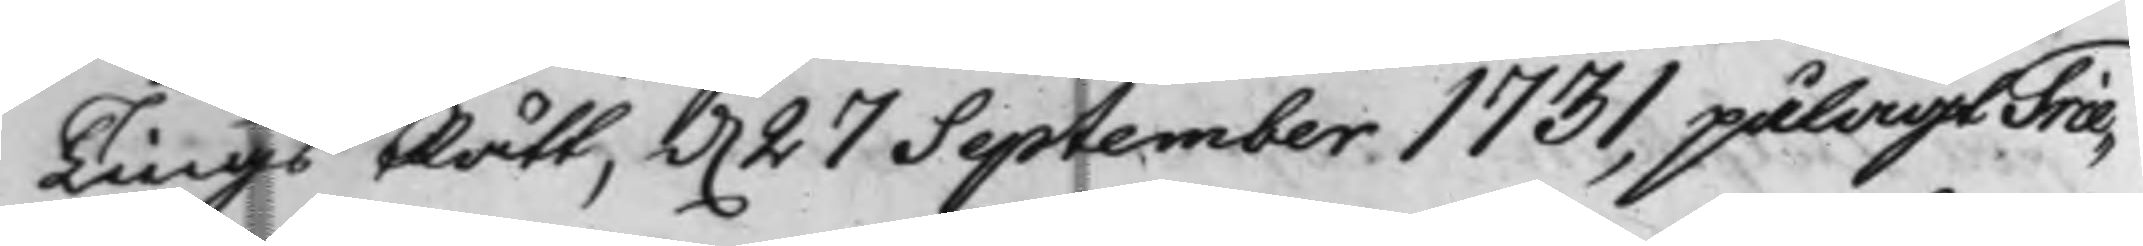TingsRätt, d. 27 September 1731, pålagt Trie¬
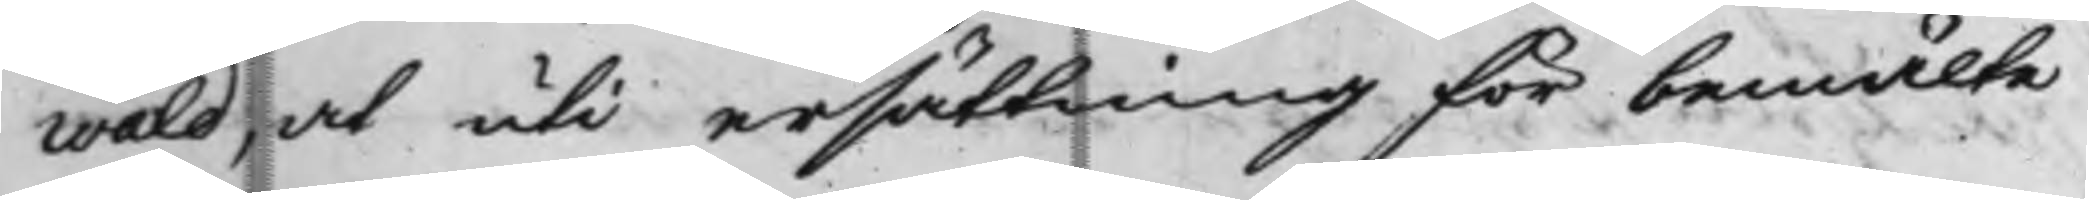wald, at uti ersättning för bemälte
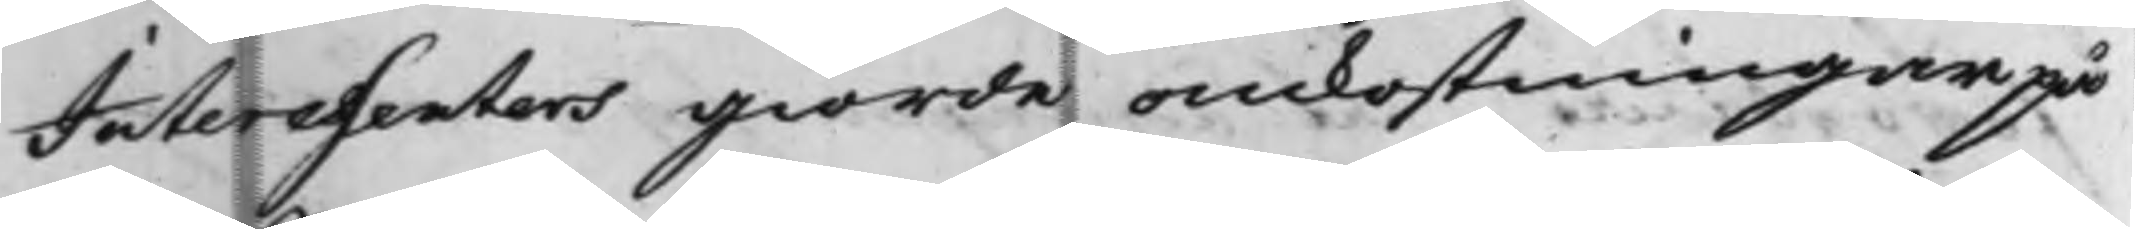Interessenters giorde omkostningar på
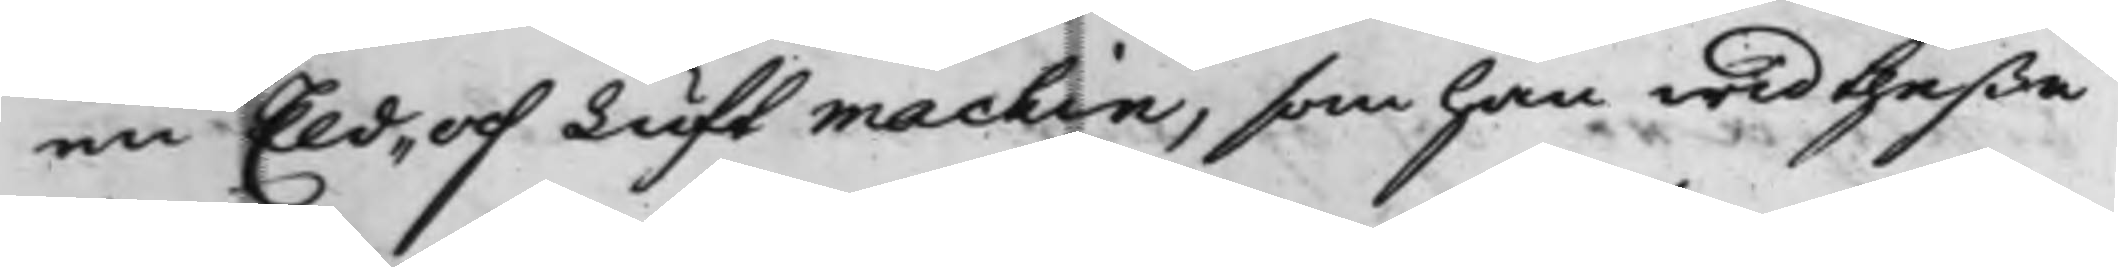en Eld¬ och Luftmachin, som han wid theßa
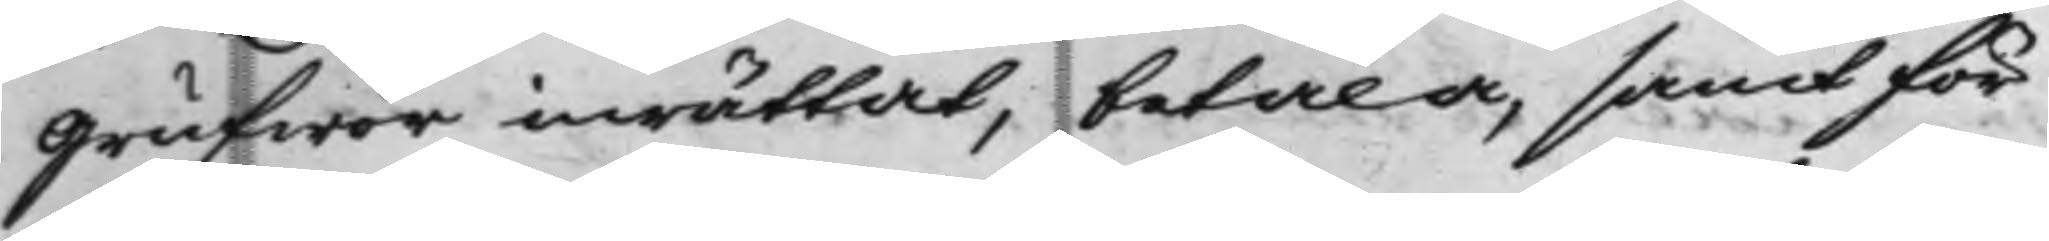Grufwor inrättat, betala, samt för
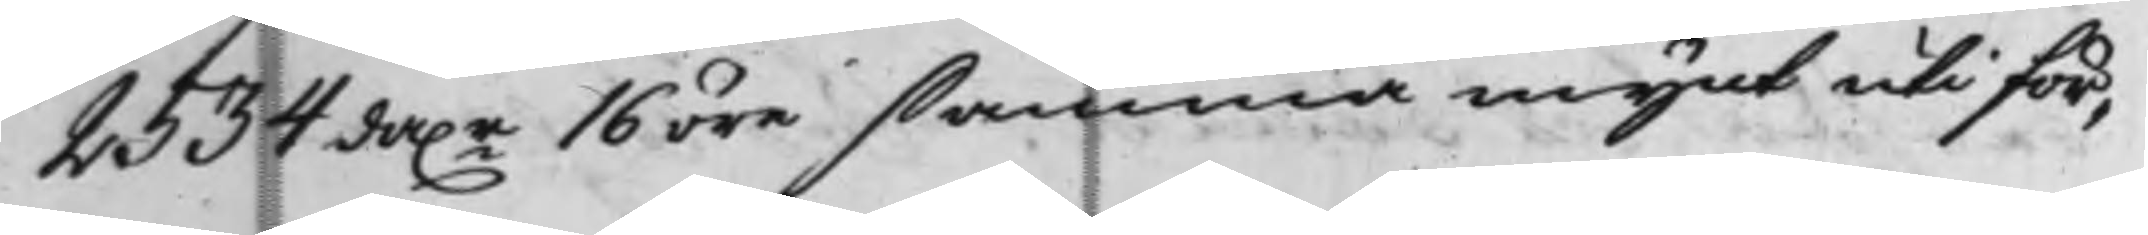2534 da.r 16 öre samma mynt uti för¬
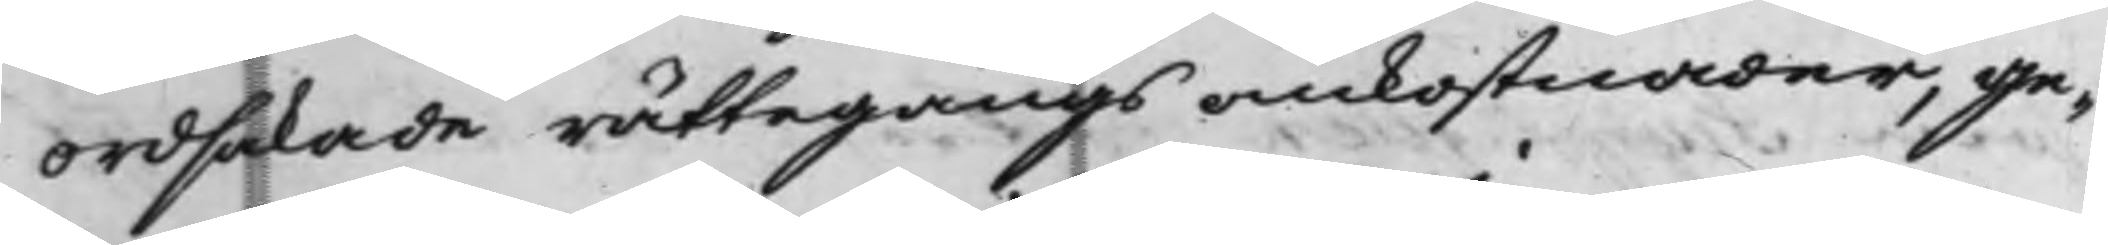ordsakade rättegångs omkostnader, ge¬
